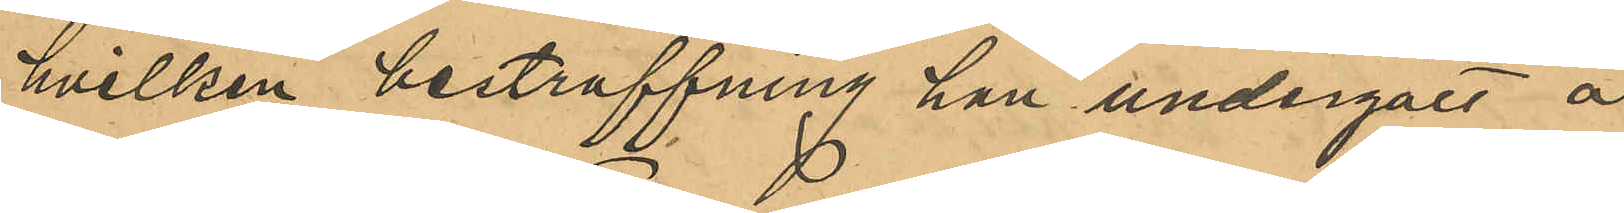hvilken bestraffning han undergått å
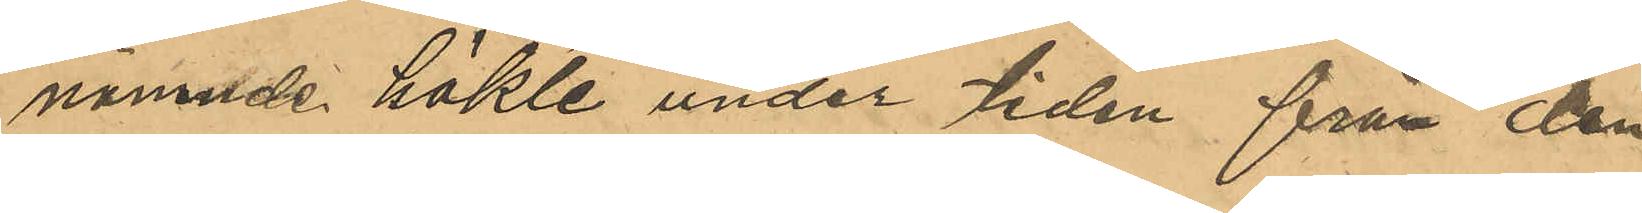nämnde häkte under tiden från den
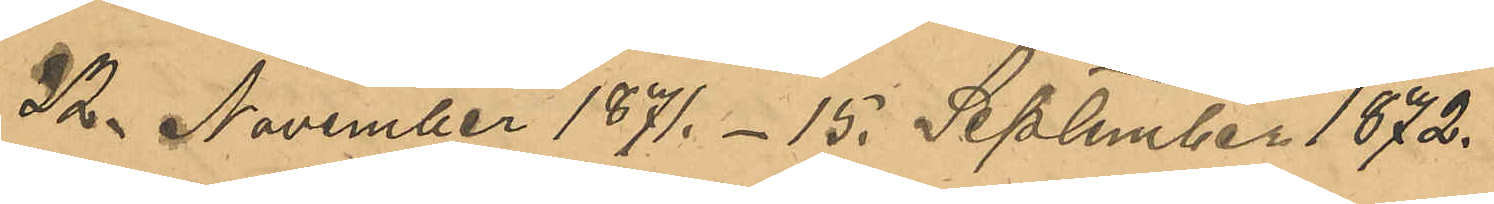22 November 1871.-15. September 1872.
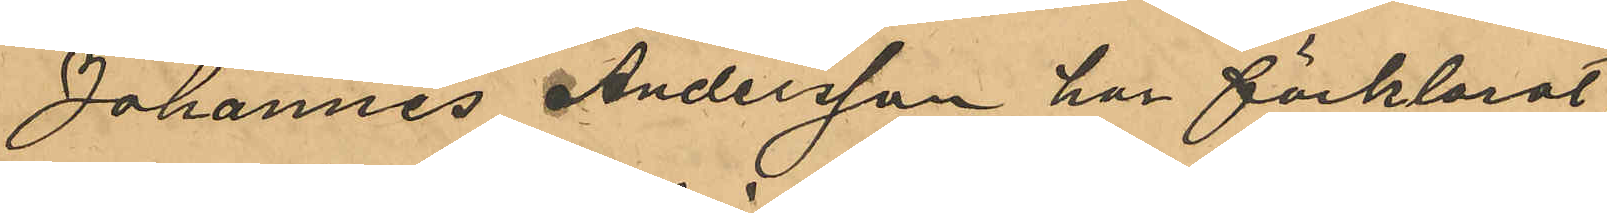Johannes Andersson har förklarat,
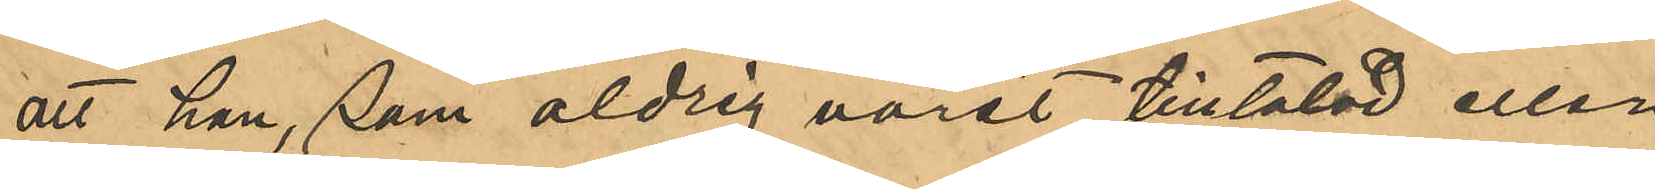att han, som aldrig varit tilltalad eller
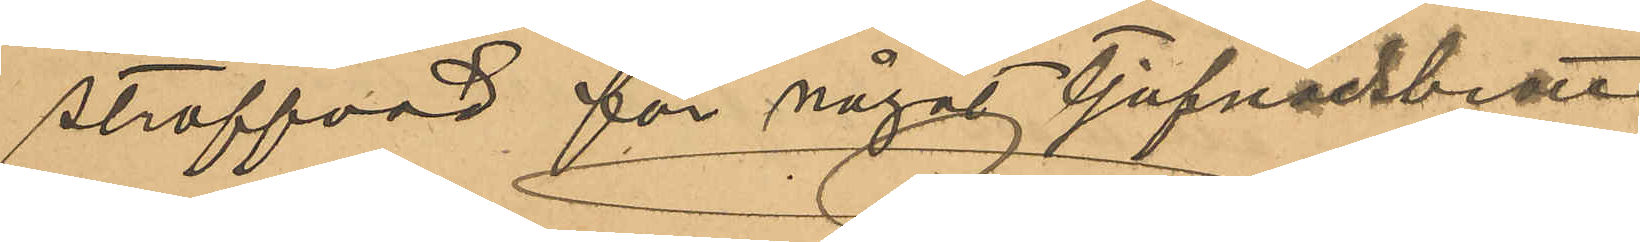straffad för något tjufnadsbrott
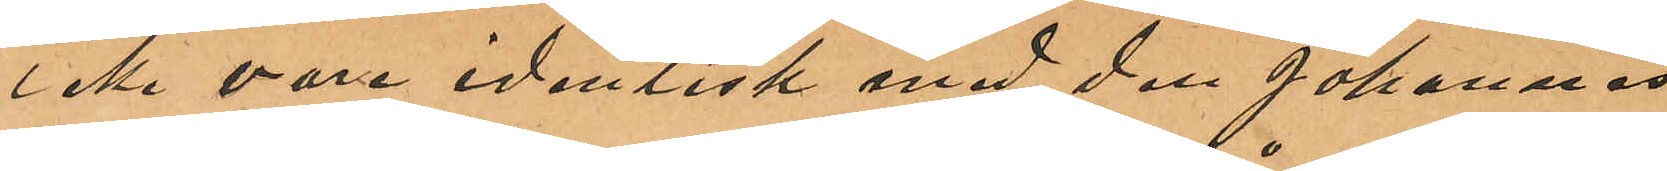icke vore identisk med den Johannes
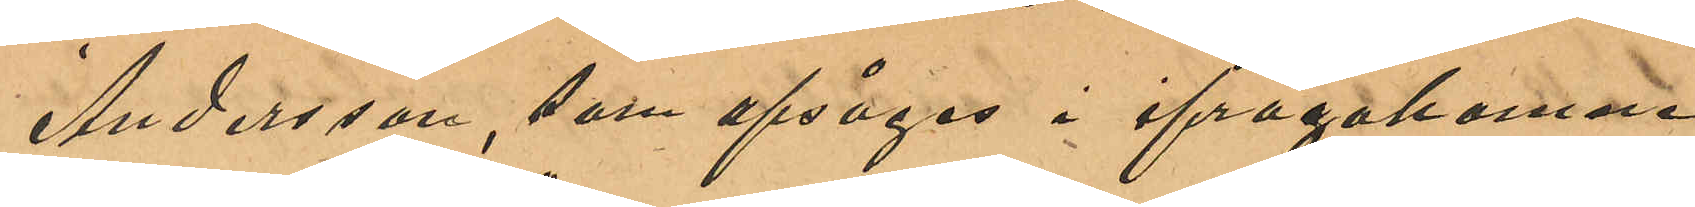Andersson, som afsåges i ifrågakomne
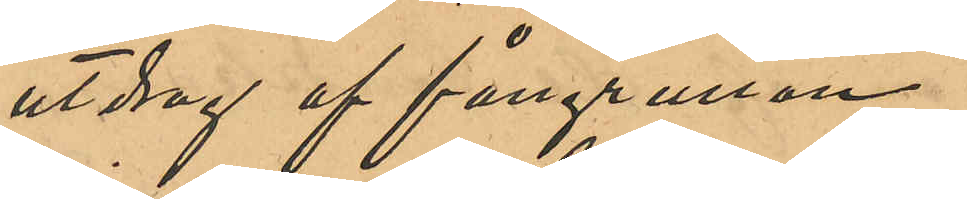utdrag ur fångrullan.
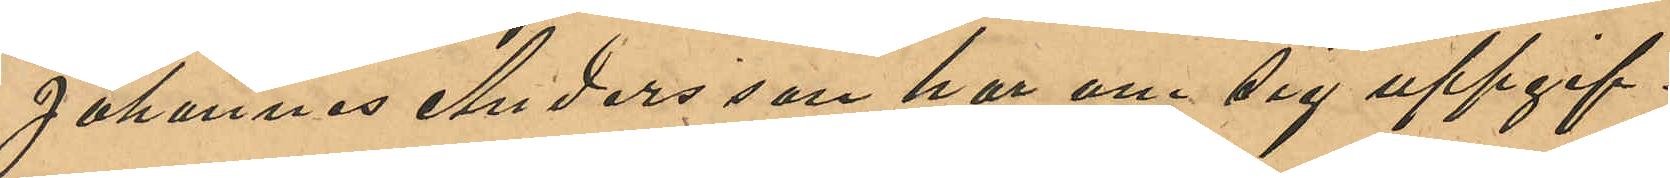Johannes Andersson har om sig uppgif¬
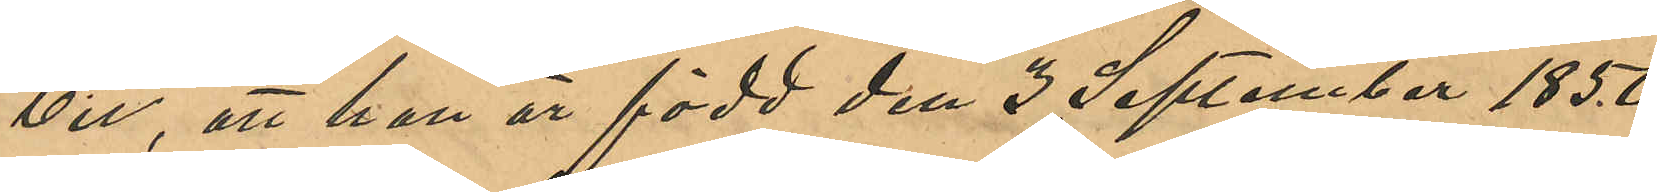vit, att han är född den 2 September 1850
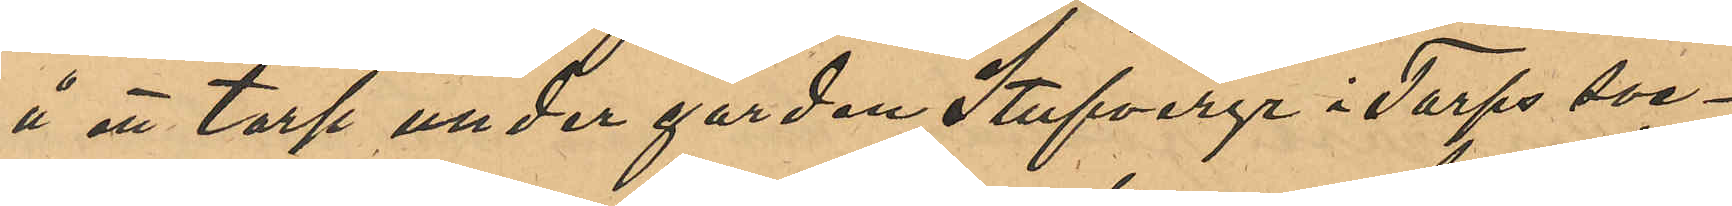å ett torp under gården Stufveryr i Torps soc¬
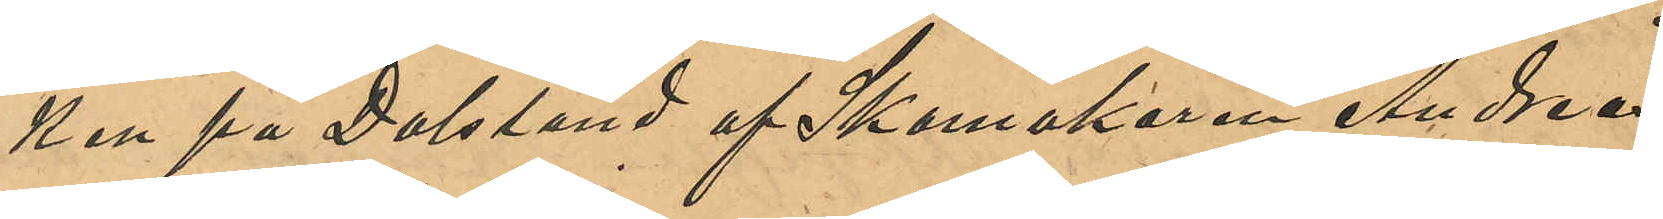ken på Dalsland af Skomakaren Andreas
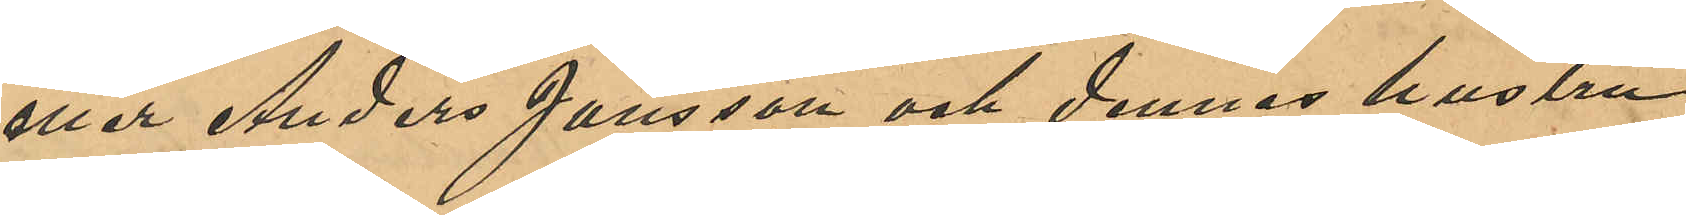eller Anders Jansson och dennes hustru
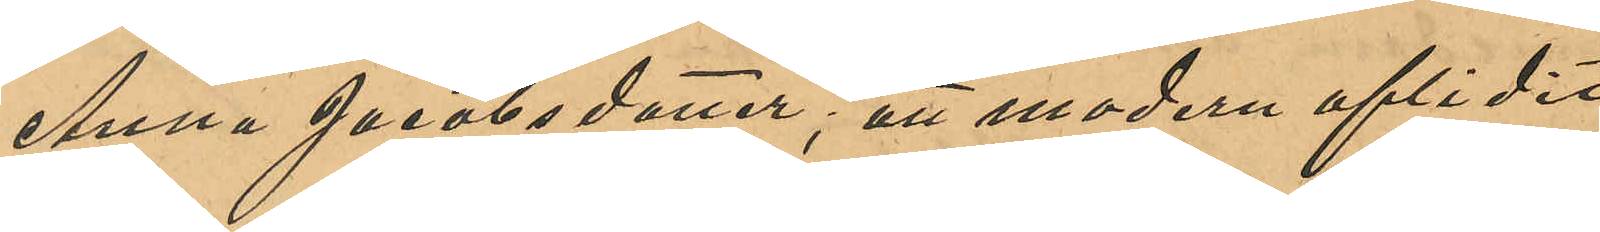Anna Jacobsdotter; att modern aflidit
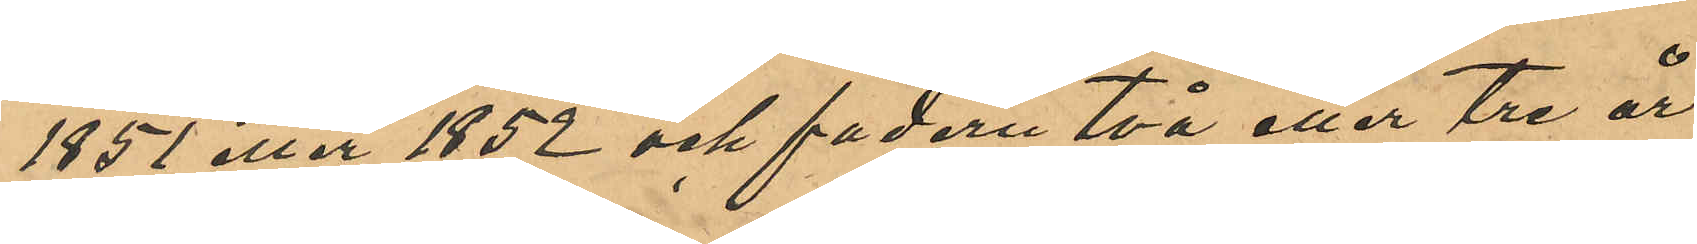1851 eller 1852 och fadern två eller tre år
